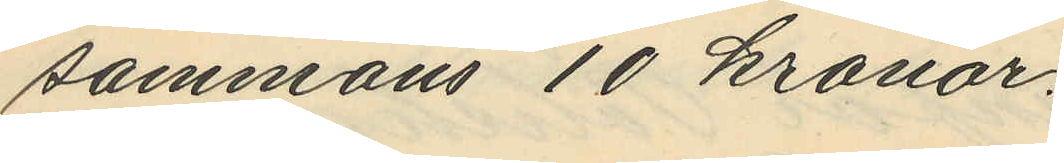sammans 10 kronor.
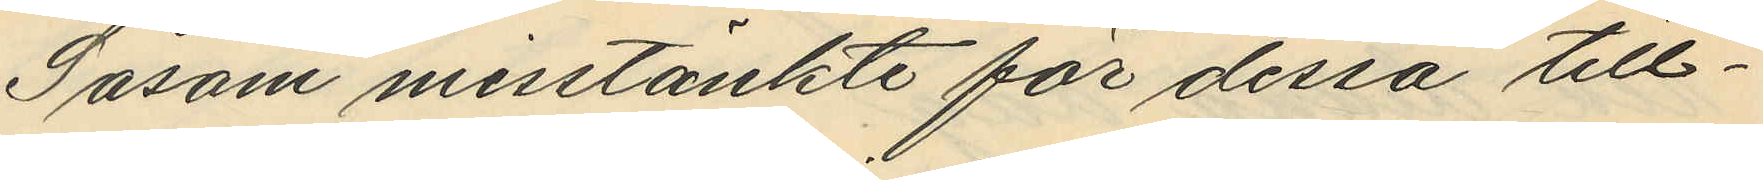Såsom misstänkte för dessa till¬
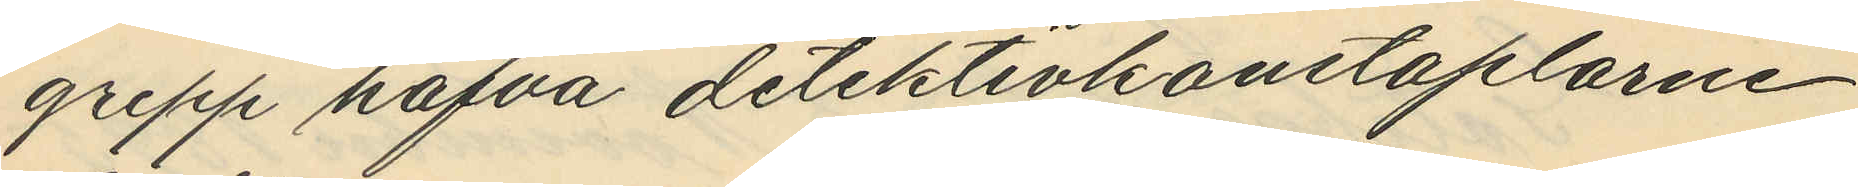grepp hafva detektivkonstaplarne
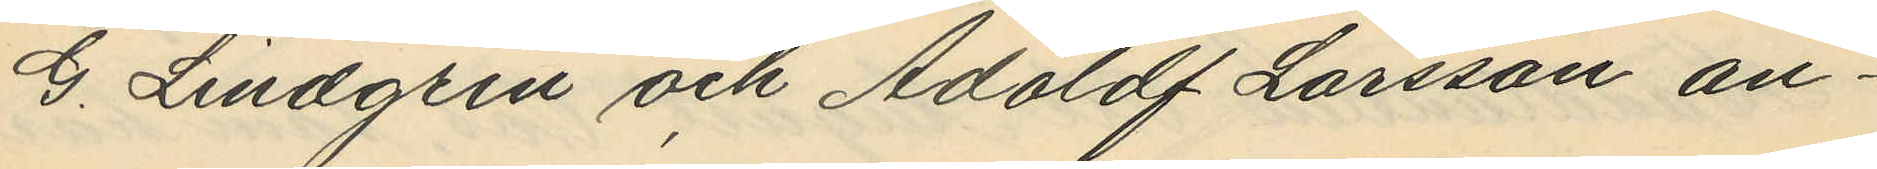G. Lindgren och Adoldf Larsson an¬
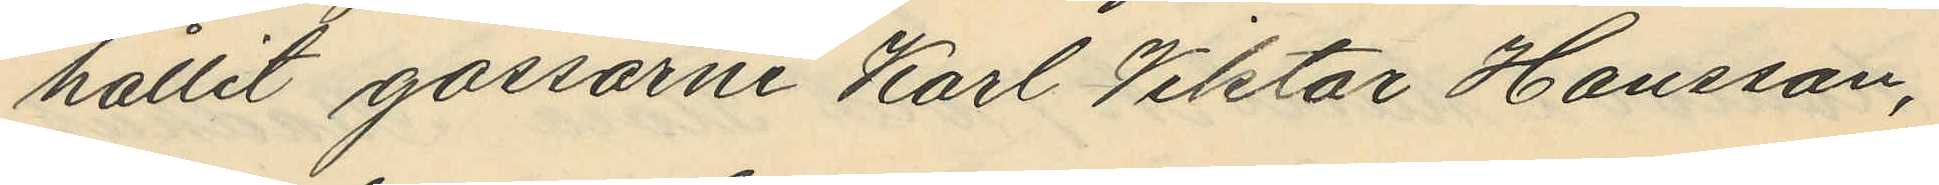hållit gossarne Karl Viktor Hansson,
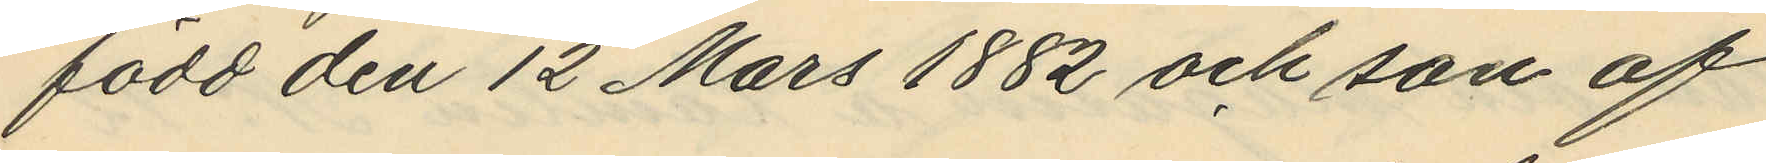född den 12 Mars 1882 och son af
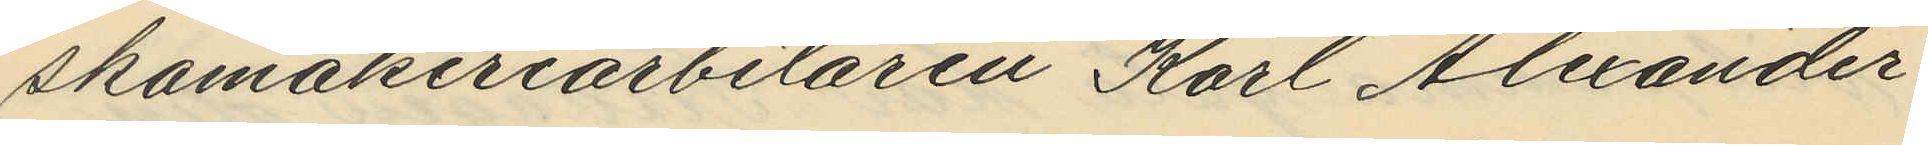skomakeriarbetaren Karl Alexander
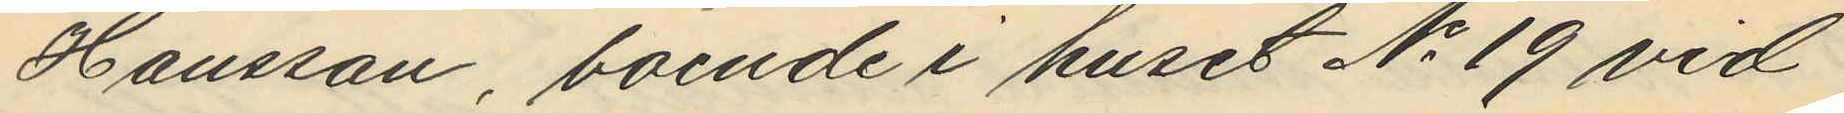Hansson, boende i huset No 19 vid
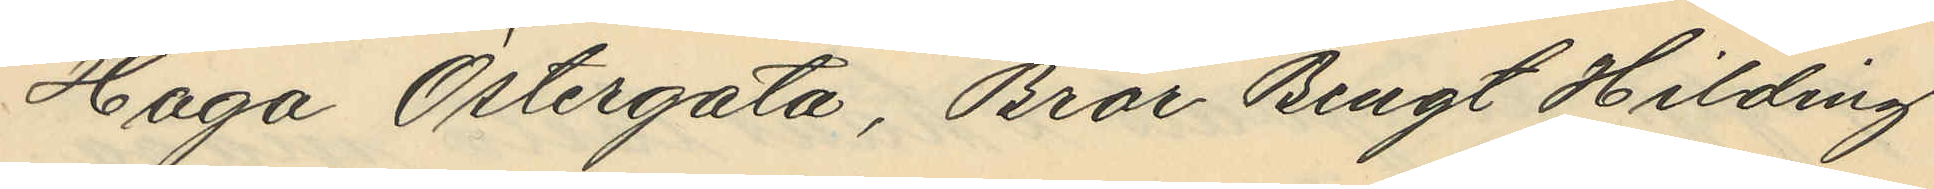Haga Östergata, Bror Bengt Hilding
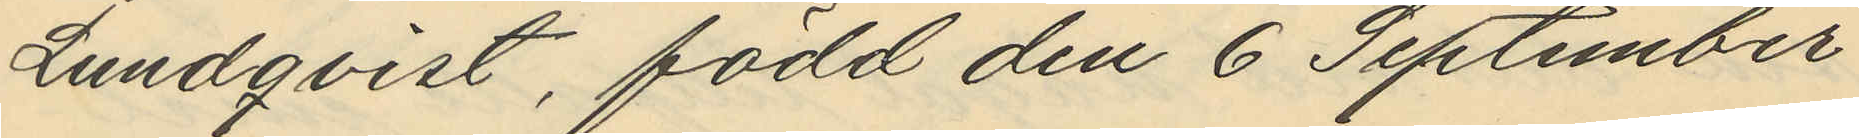Lundqvist, född den 6 September
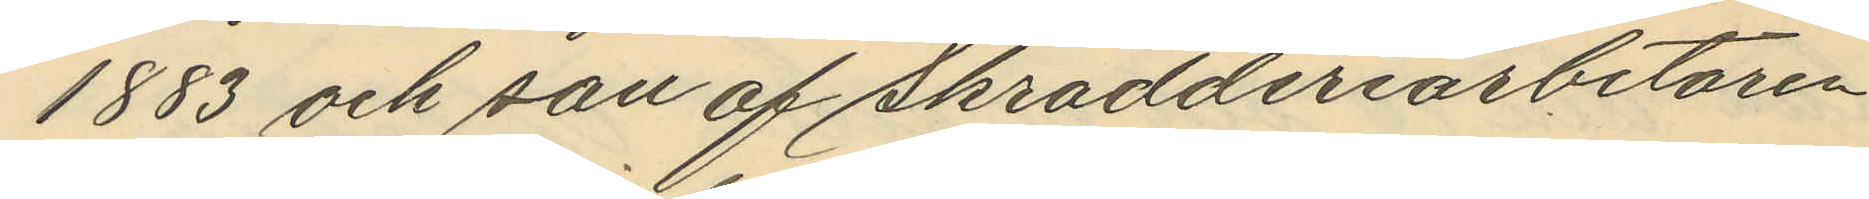1883 och son af Skrädderiarbetaren
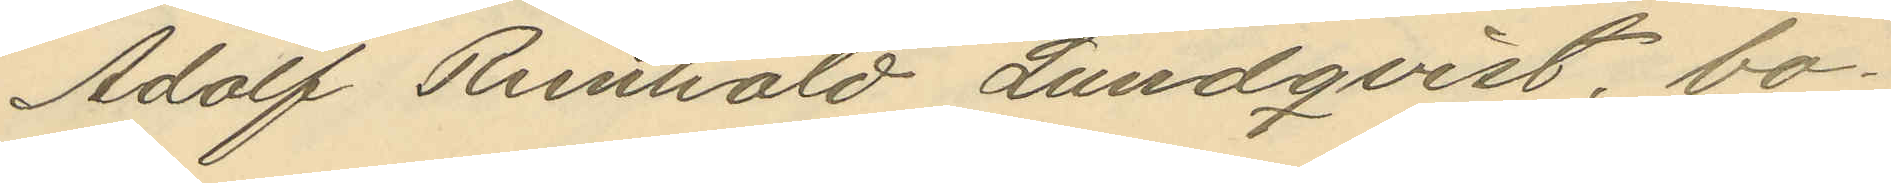Adolf Reinhold Lundqvist, bo¬
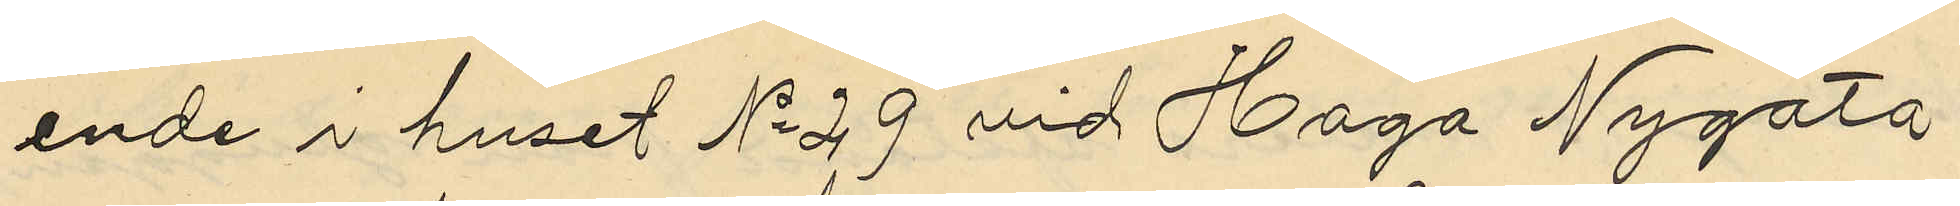ende i huset No 29 vid Haga Nygata
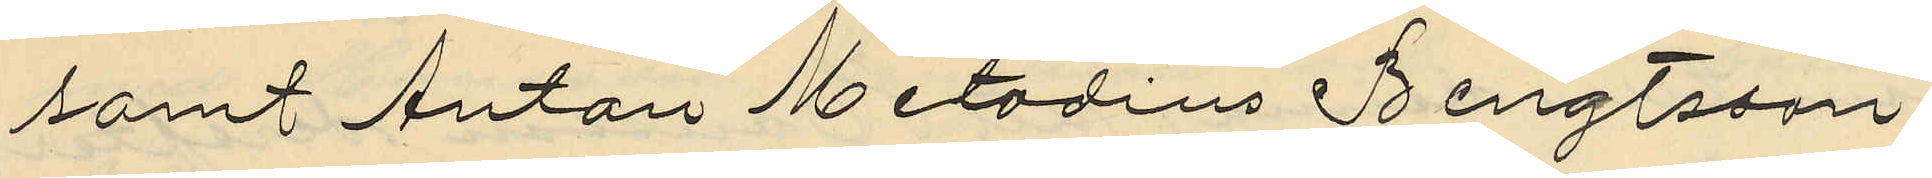samt Anton Metodius Bengtsson
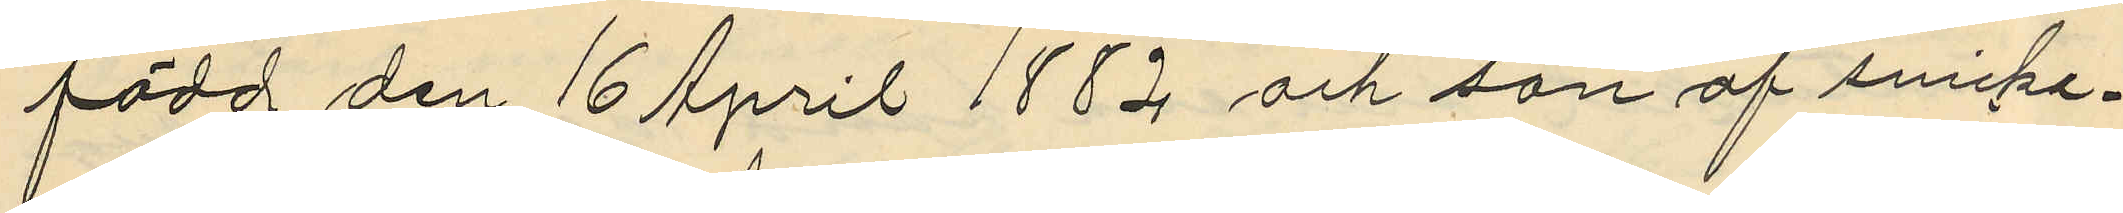född den 16 April 1882 och son af snicke¬
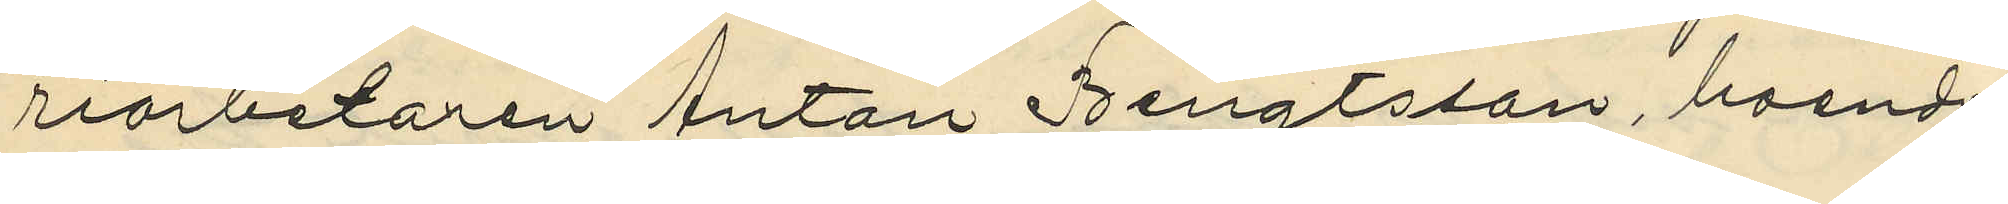riarbetaren Anton Bengtsson, boende
